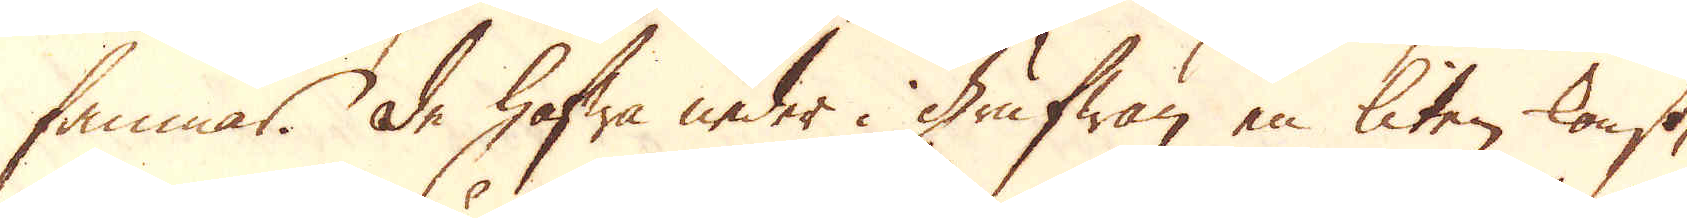famnar. De hafwa neder i grufwan en liten konst,
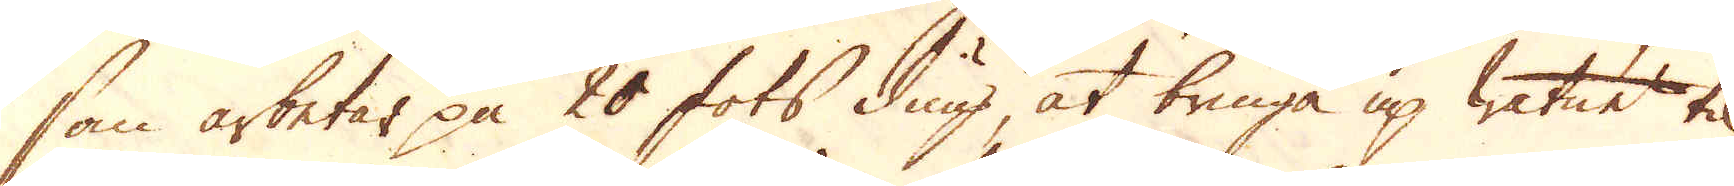som arbetar på 20 fots diup at bringa up watnet til
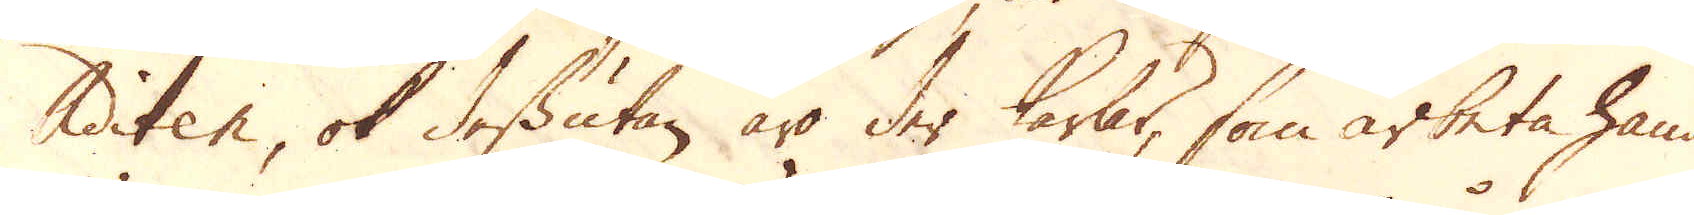Aditen, ok dessutan äro der karlar, som arbeta hand-
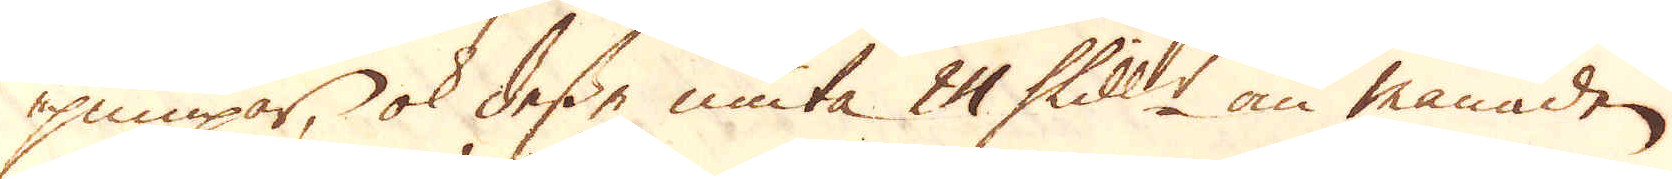pumpar, ok desse niuta 24 Skill:r om månaden.
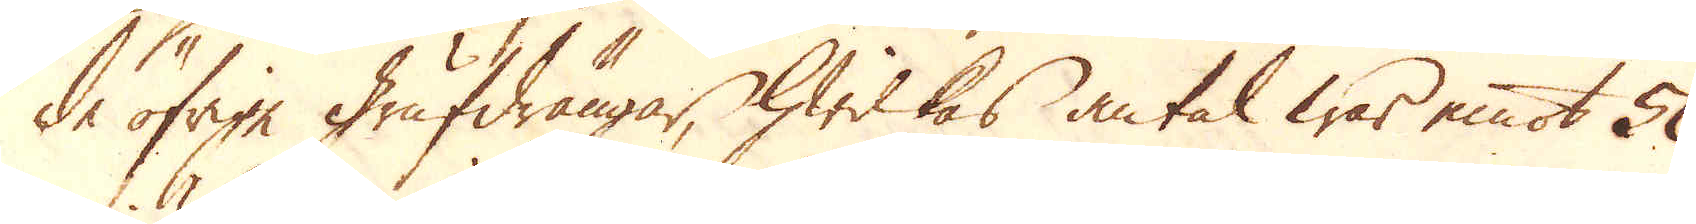de öfrige Grufdrängar, hwilkas antal war emot 50,
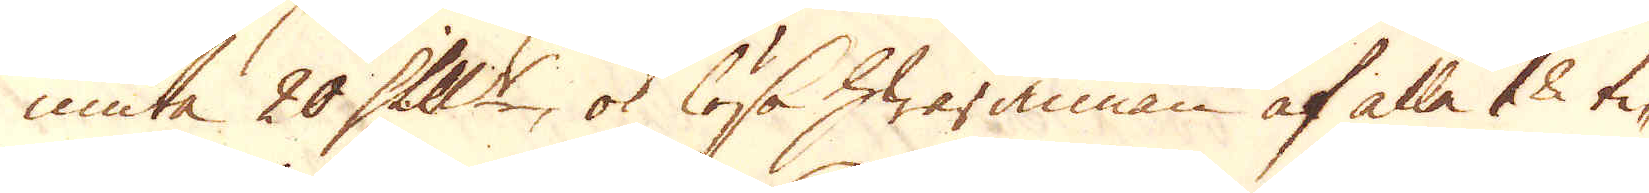niuta 20 Skill:r, ok lösa hwarannan af alla 18 ti-
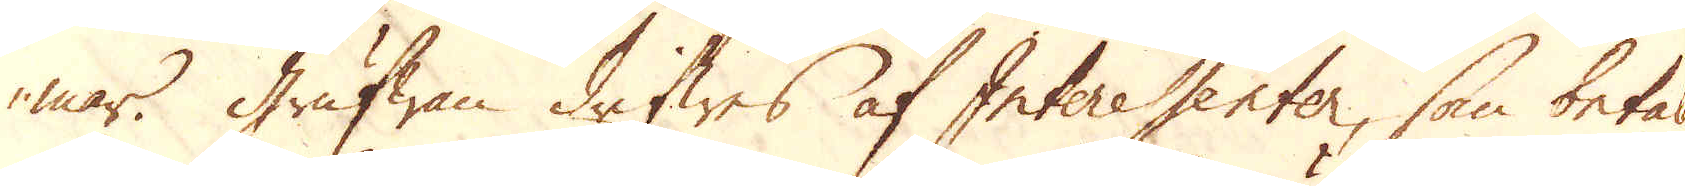mar. Grufwan drifwes af Interessenter, som betala
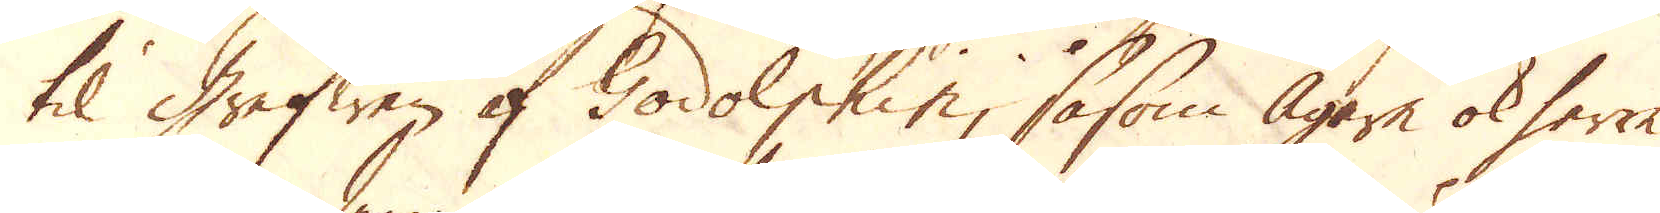til Grefwen af Godolphin, såsom Ägare ok herre
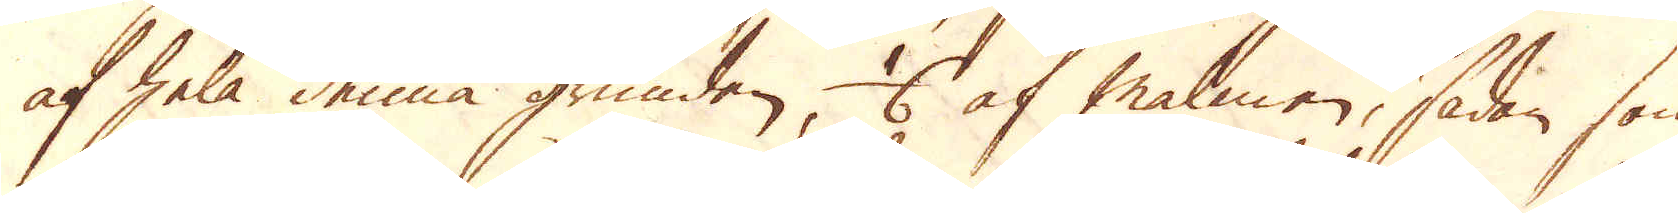af hela denna grunden 1/6 af malmen, sådan som
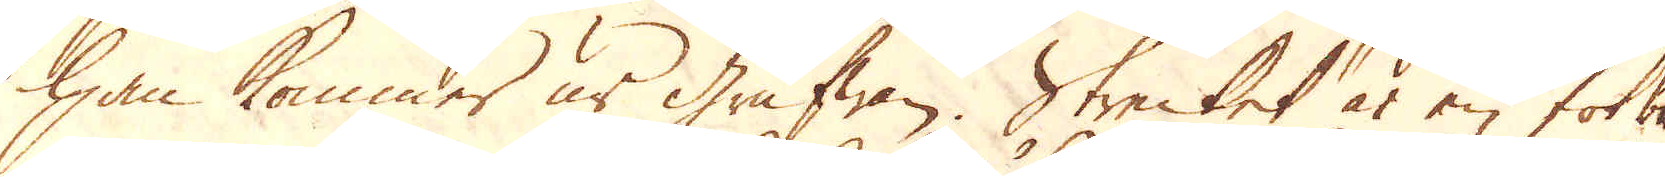han kommer ur Grufwan. Strecket är en fot bre
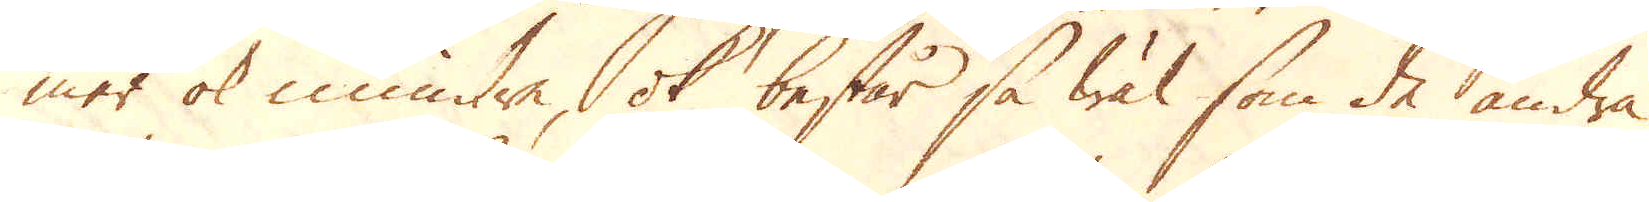mer ok mindre, ok består så wäl som de andra
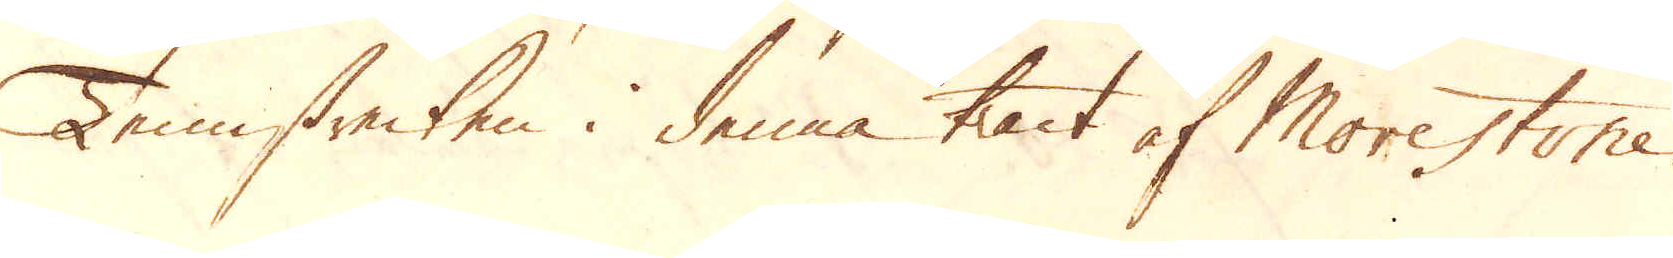Tennstrecken i denna tract af Morestone,
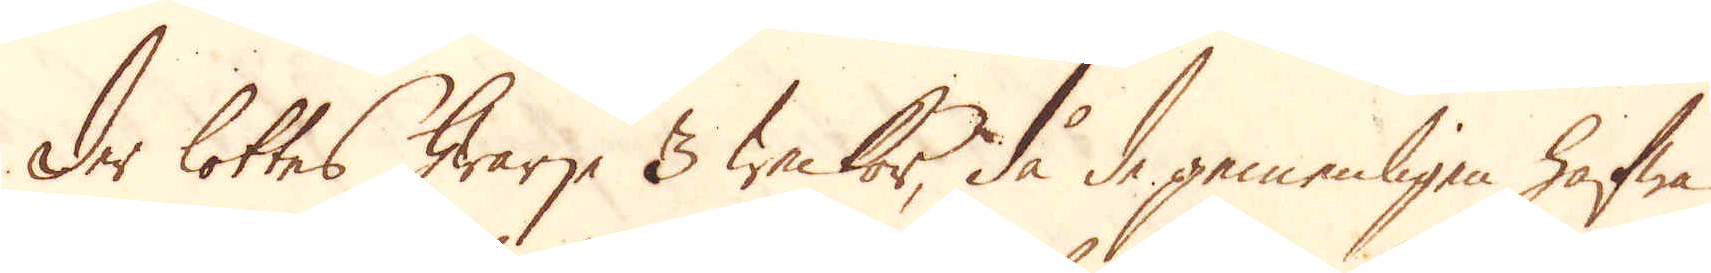der lottas hwarje 3 weckor, då de gemenligen hafwa
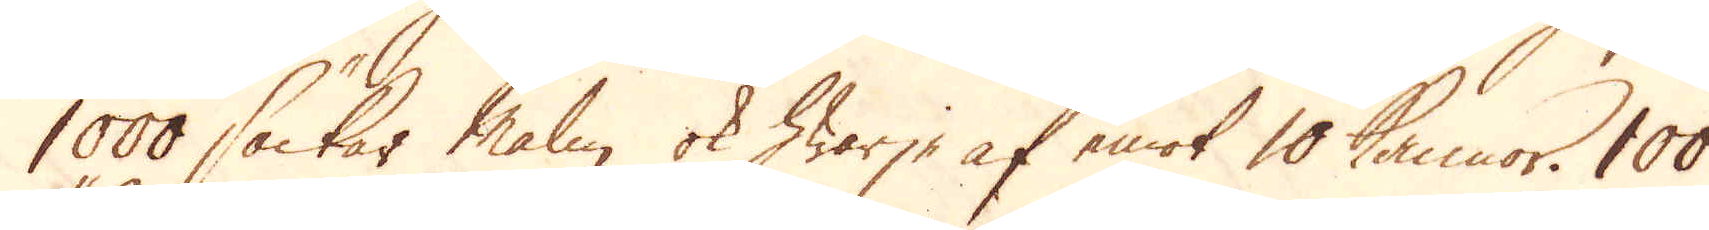1000 säckar malm, ok hwarje af emot 10 kannor. 100
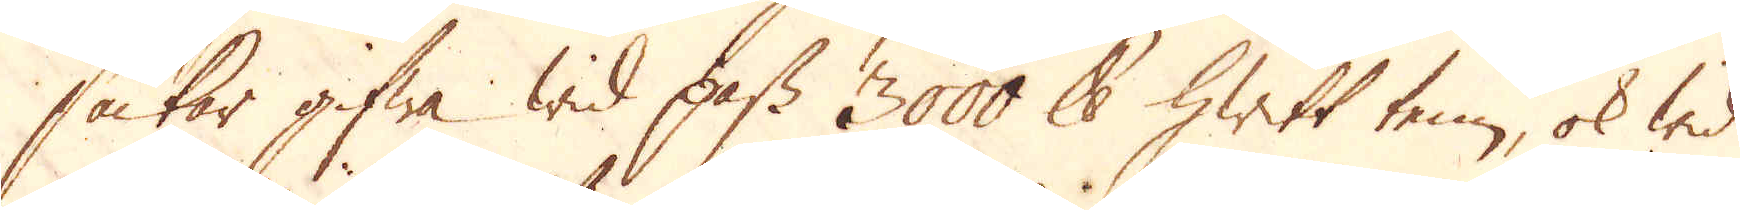säckar gifwa wid pass 3000 skålpund hwitt tenn, ok wid
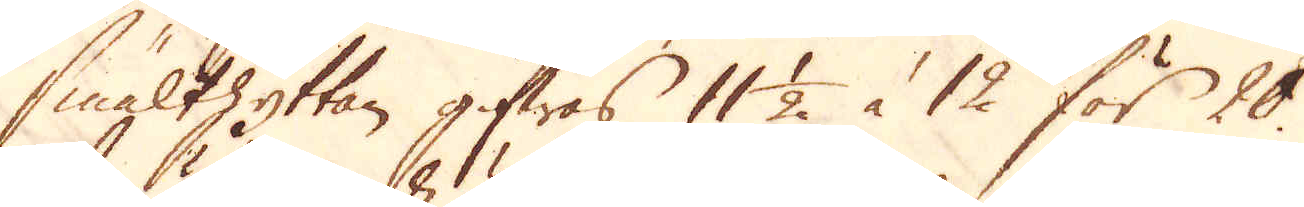smälthyttan gifwas 11 1/2 à 12 för 20
